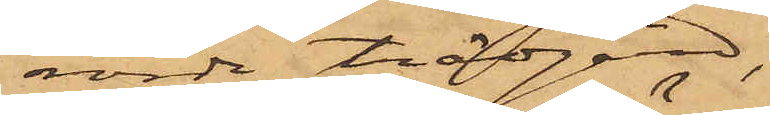rörde trädgård,
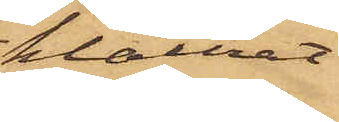klättrat
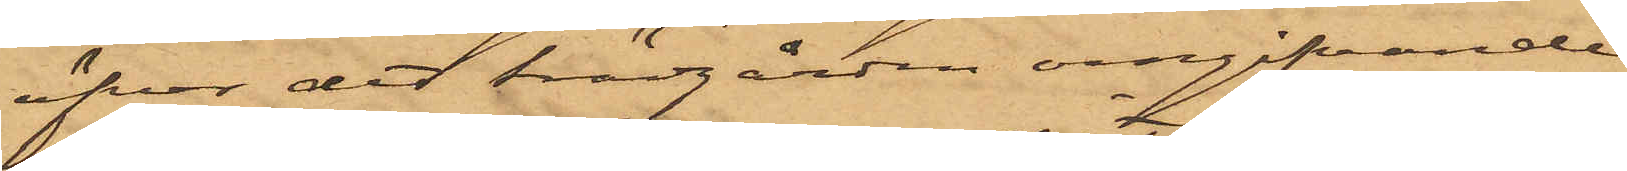öfver det trädgården omgifvande
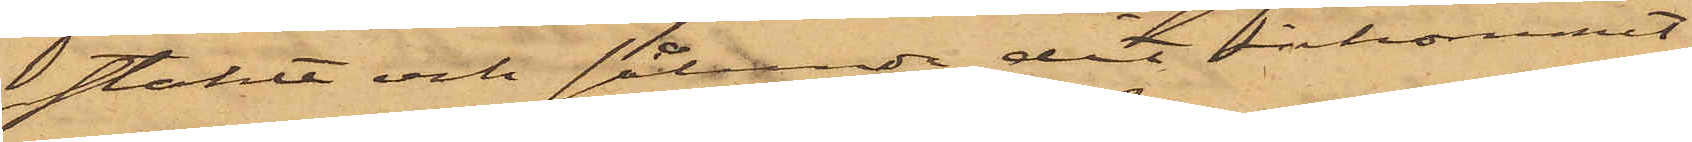staket och sålunda dit inkommit;
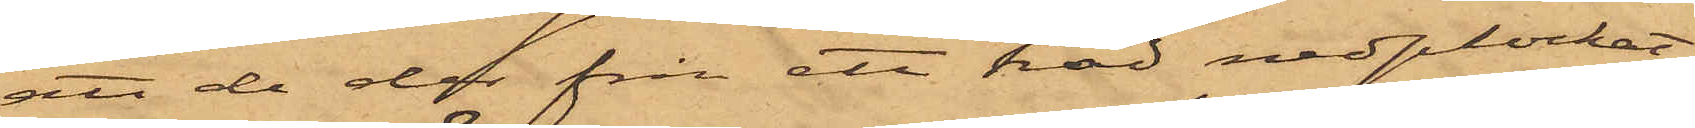att de der från ett träd nedplockat
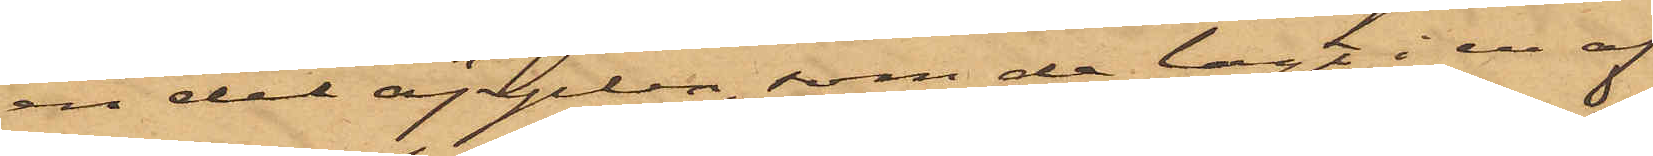en del äpplen, som de lagt i en af
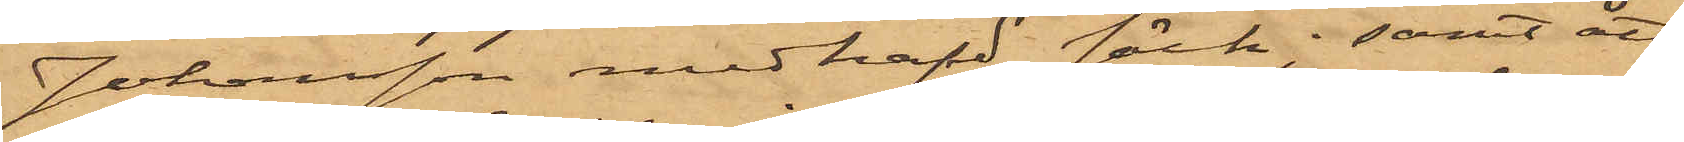Johansson medhafd säck; samt att
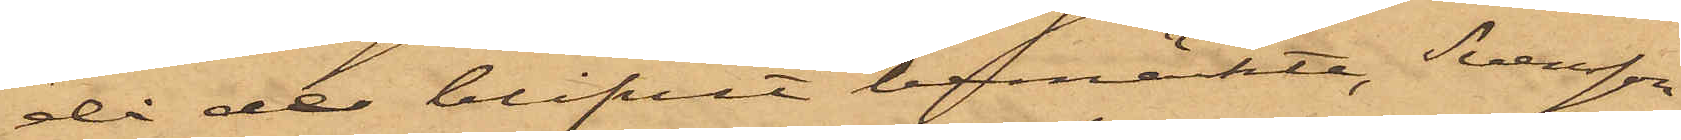då de blifvit bemärkte, Svensson
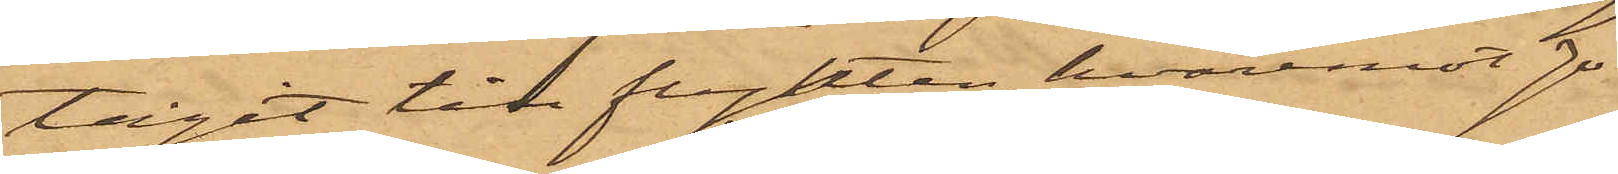tagit till flykten, hvaremot Jo¬
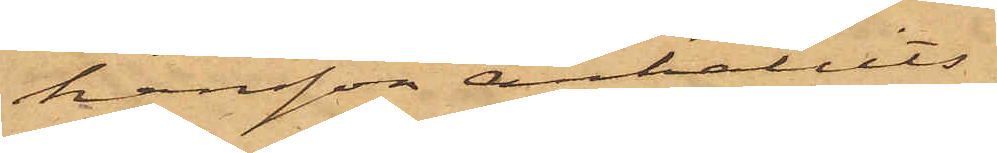hansson anhållits.
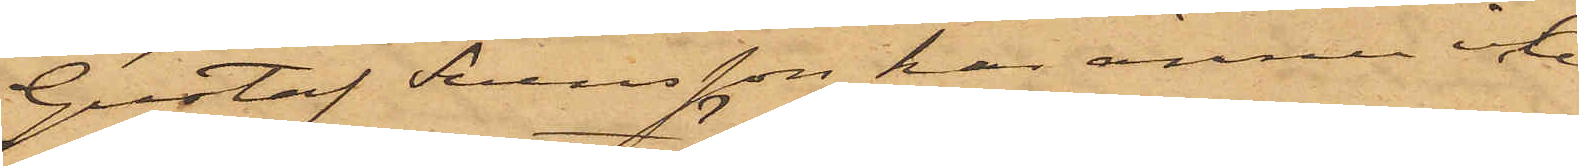Gustaf Svensson har ännu icke
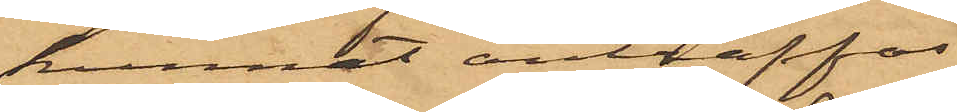kunnat anträffas.
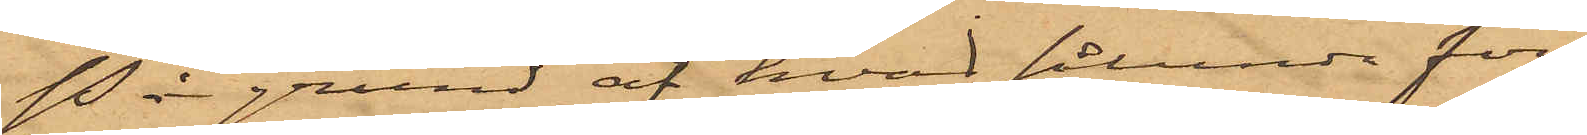På grund af hvad sålunda före¬
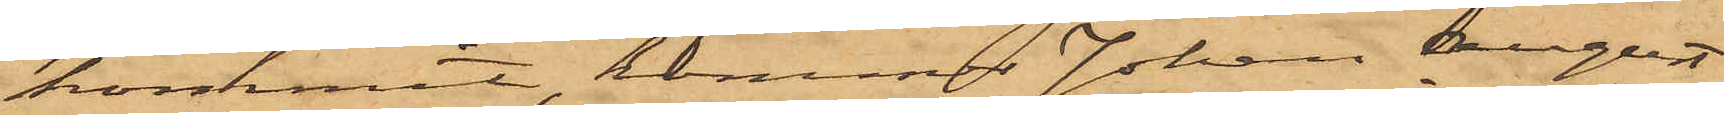kommit, kommer Johan August
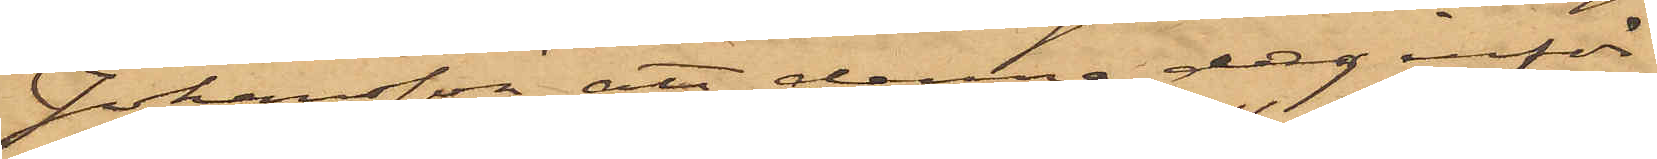Johansson att denna dag inför
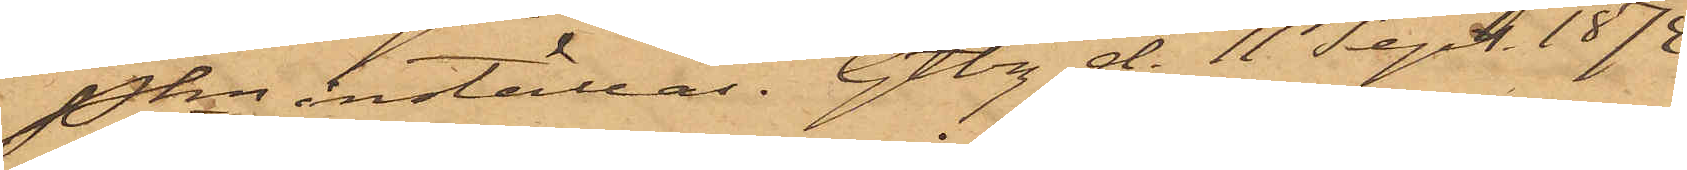Pkn inställas. Gtbg d. 11 Sept. 1874
